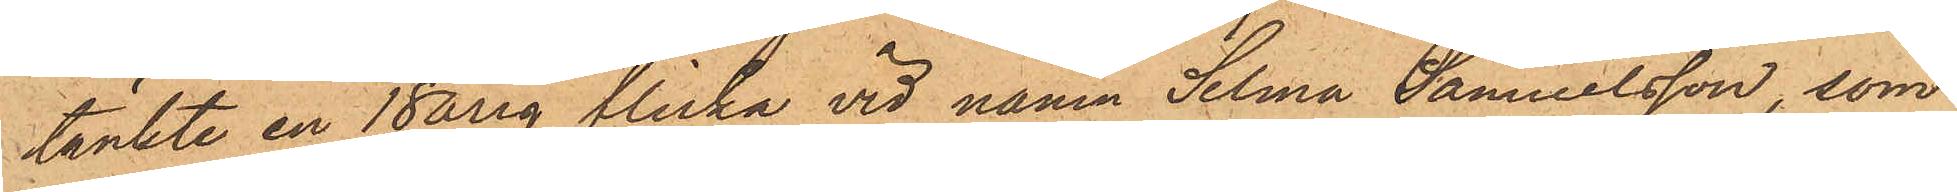tänkte en 18 årig flicka vid namn Selma Samuelsson, som
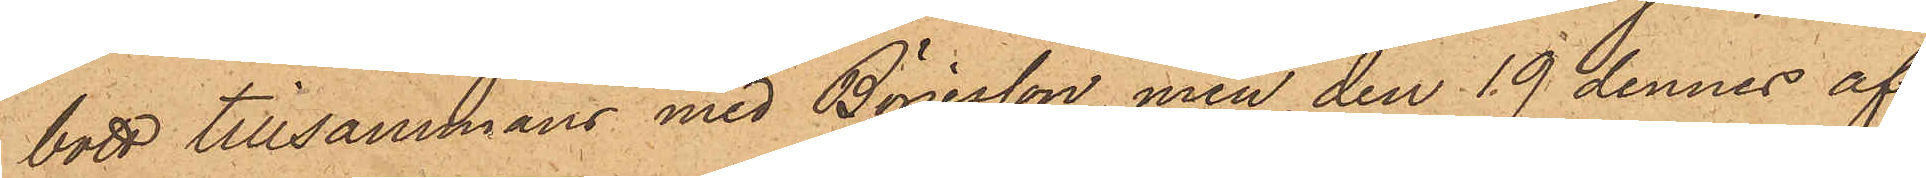bott tillsammans med Börjesson, men den 19 dennes af¬
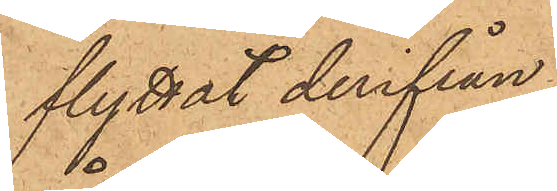flyttat derifrån
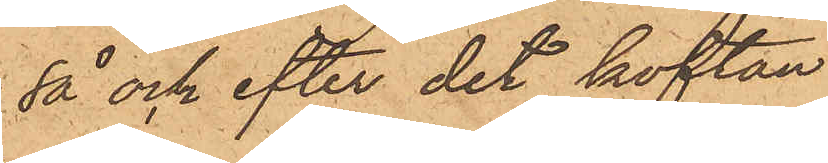så och efter det koftan
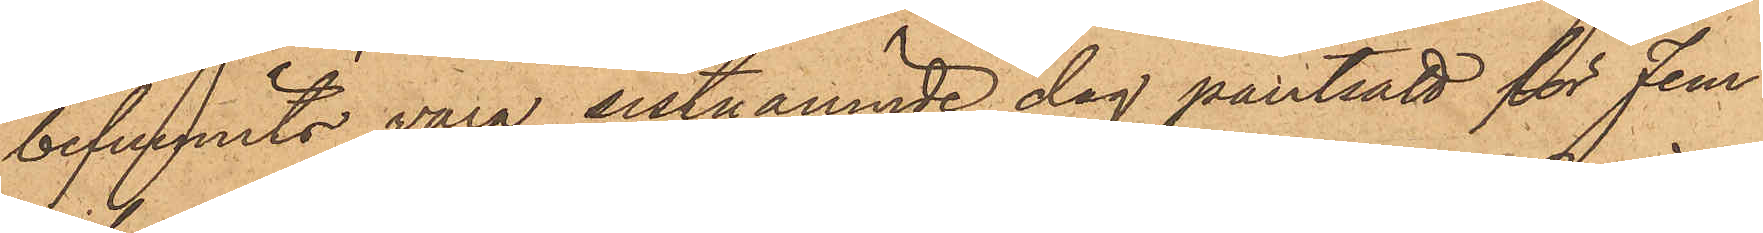befunnits vara sistnämnde dag pantsatt för fem
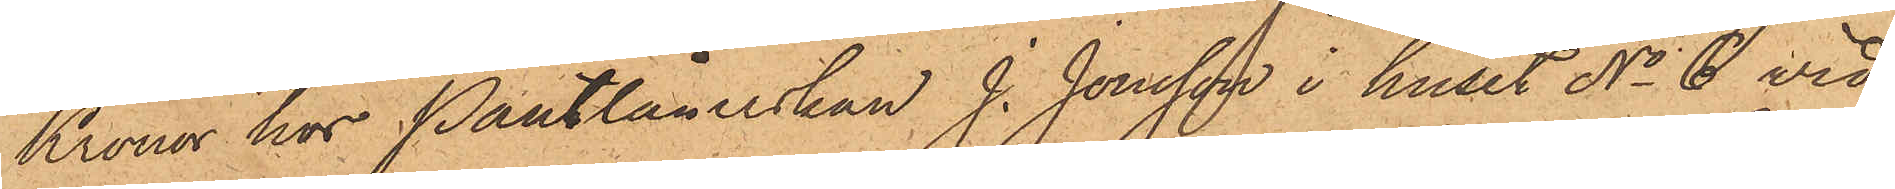Kronor hos Pantlånerskan J. Jonsson i huset No 6 vid
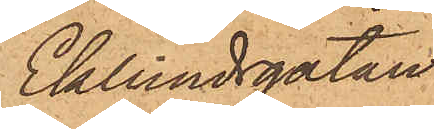Eklundsgatan
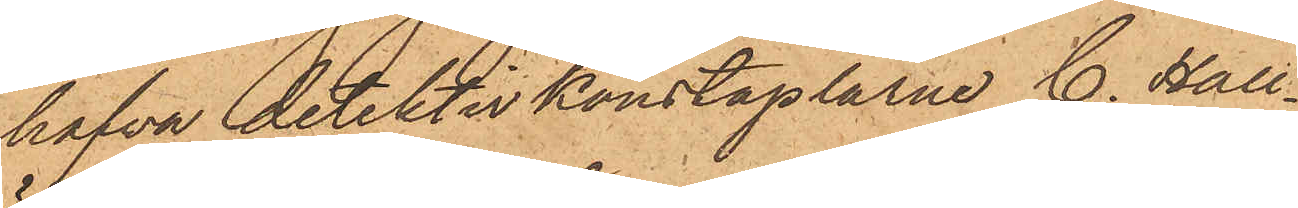hafva detektivkonstaplarne C. Häll¬
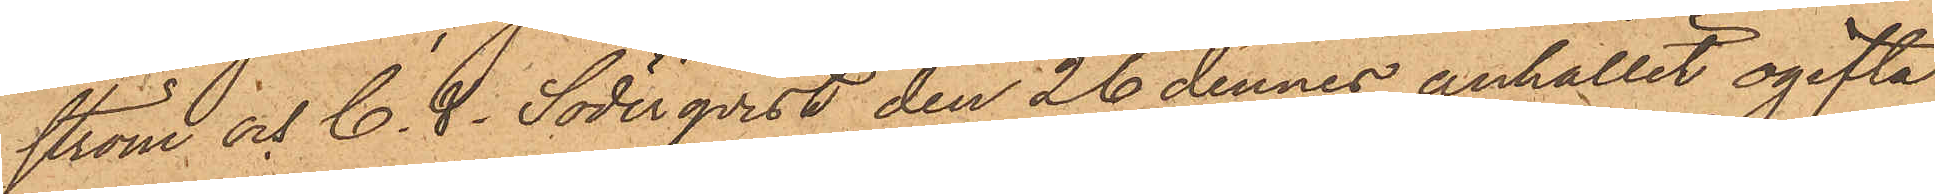ström och C. V. Söderqvist den 26 dennes anhållit ogifta
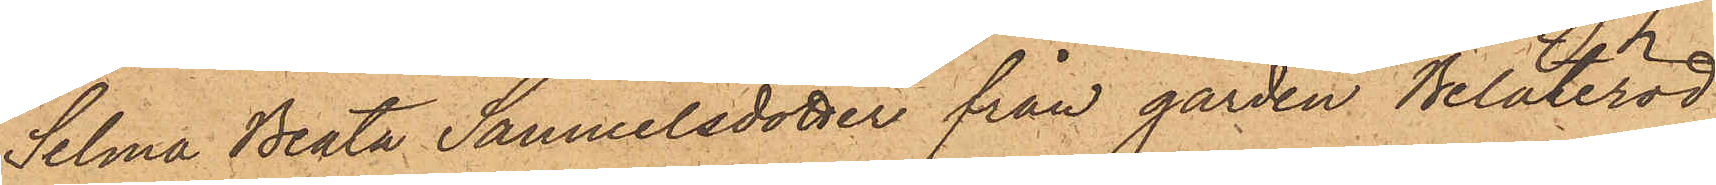Selma Beata Samuelsdotter från gården Beläteröd
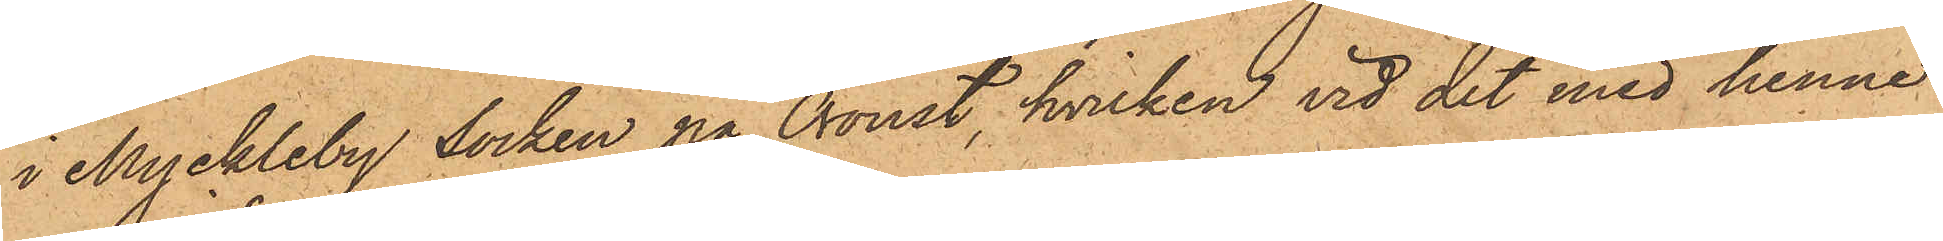i Myckleby Socken på Oroust, hvilken vid det med henne
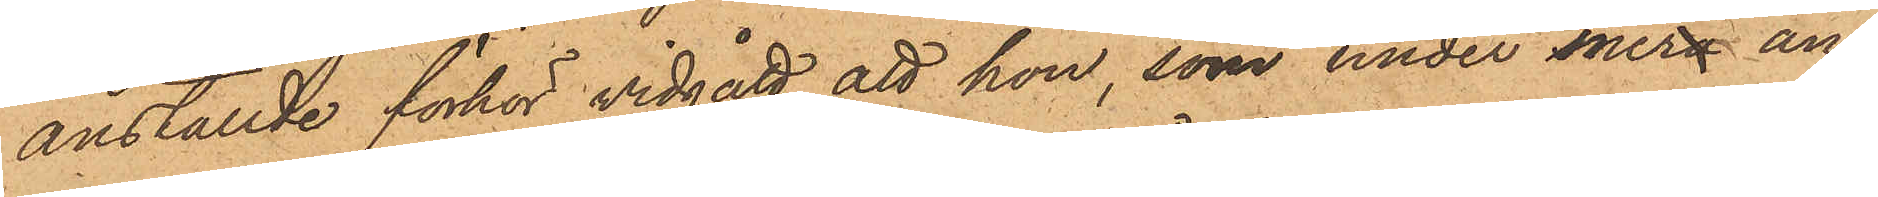anställde förhör vidgått att hon, som under mera än
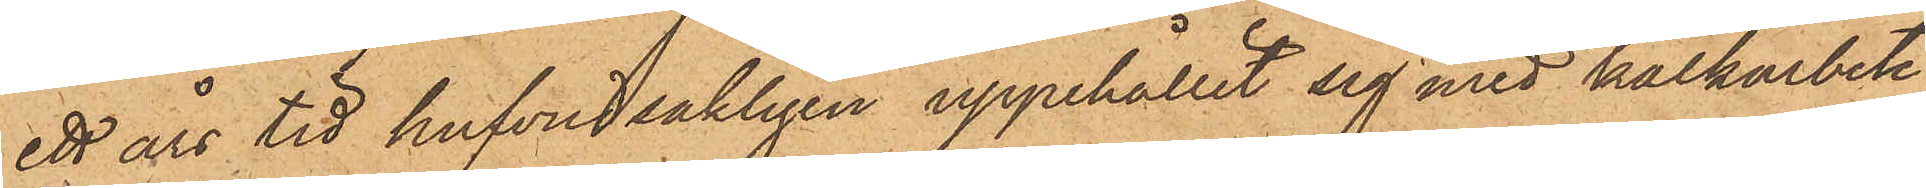ett års tid hufvudsakligen uppehållit sig med kalkarbete
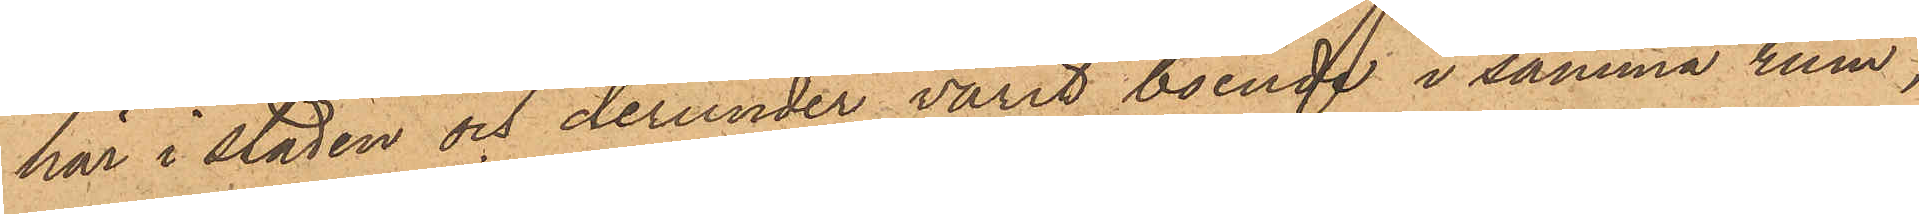här i staden och derunder varit boende i samma rum,
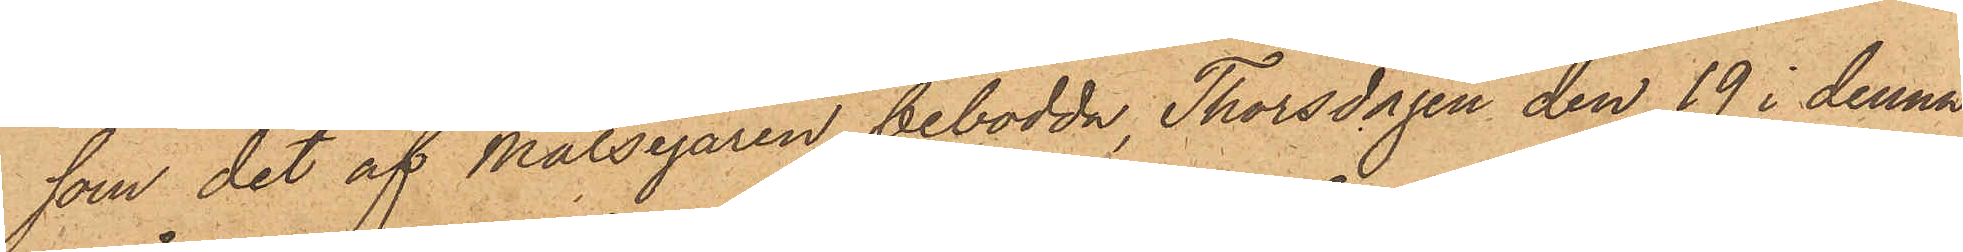som det af Målsegaren bebodda, Thorsdagen den 19 i denna
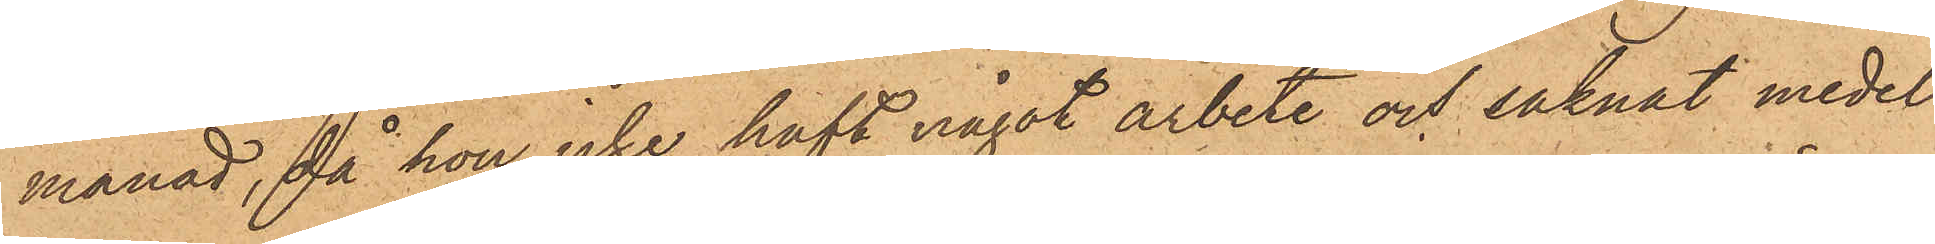månad, då hon icke haft något arbete och saknat medel
